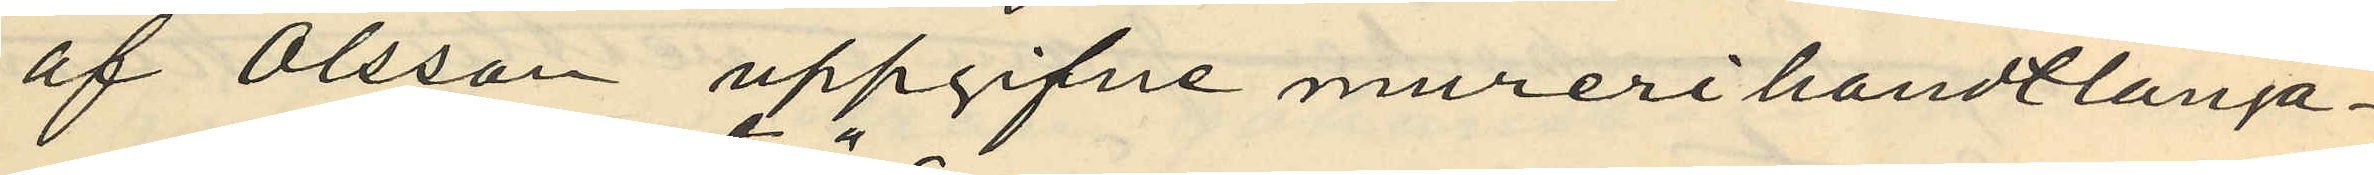af Olsson uppgifne murerihandtlanga¬
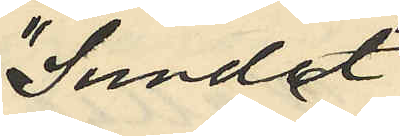"Sundet"
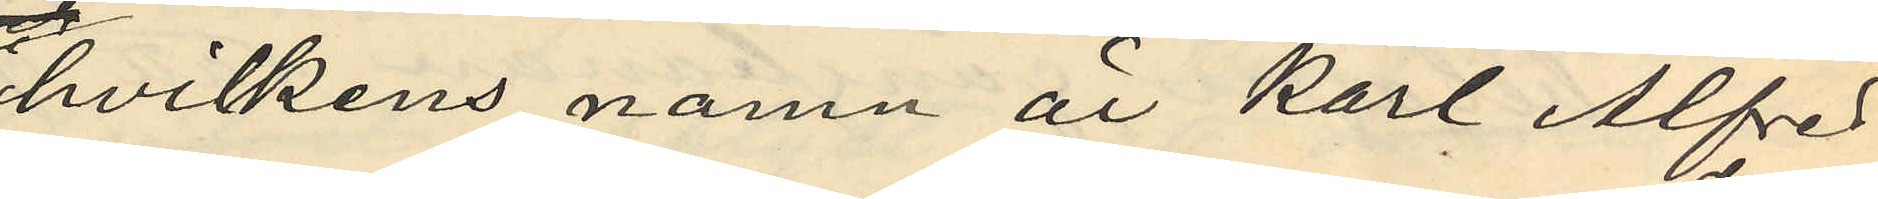hvilkens namn är Karl Alfred
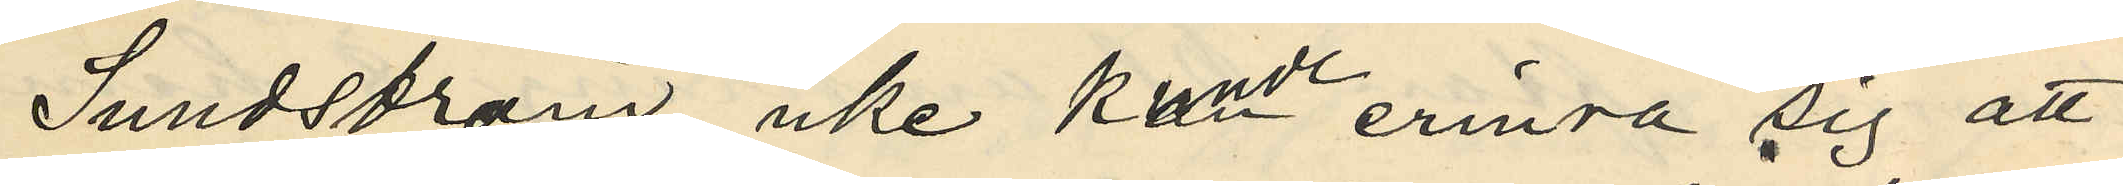Sundström, icke kunde erinra sig att
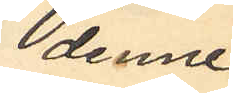denne
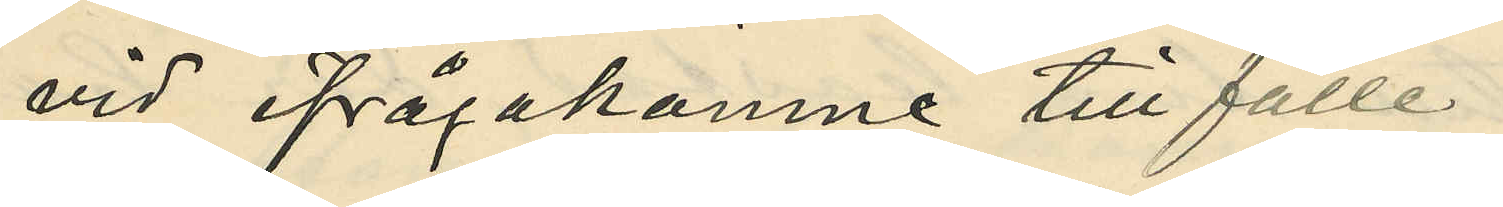vid ifrågakomne tillfälle
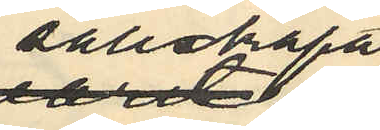sällskapet
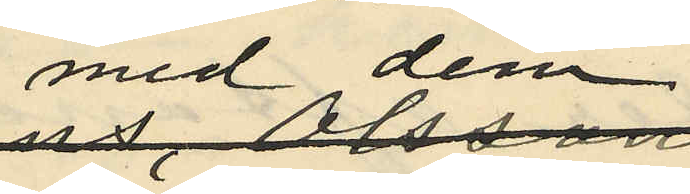med dem;
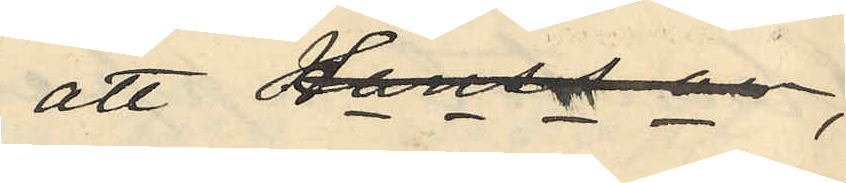att Hansson,
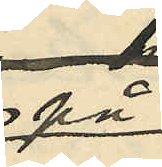på
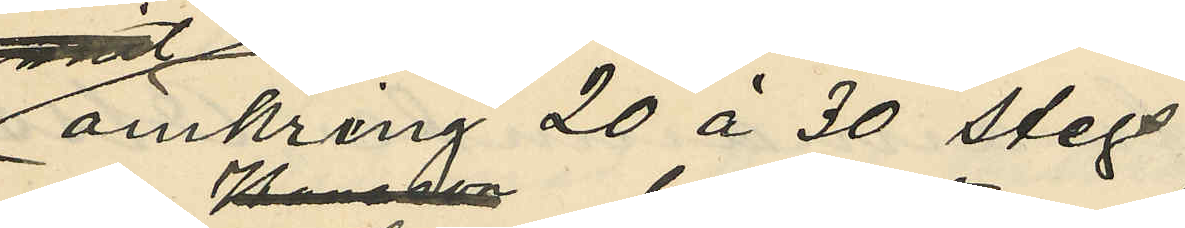omkring 20 á 30 stegs
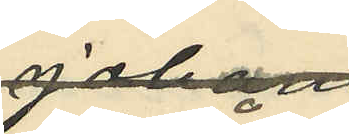afstånd
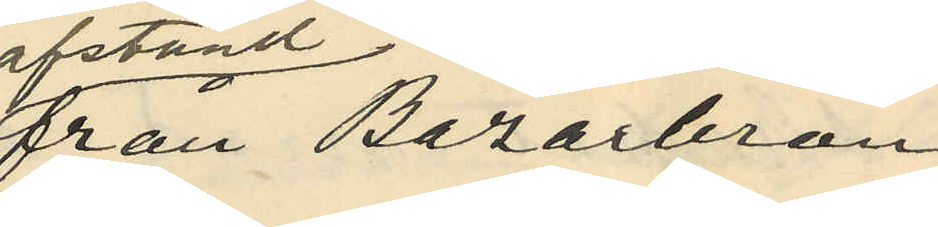från Bazarbron
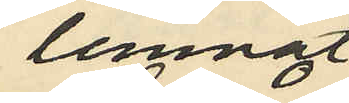lemnat
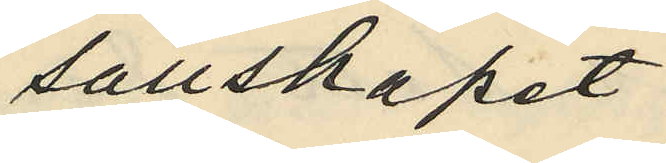sällskapet
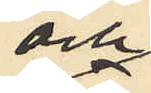och
